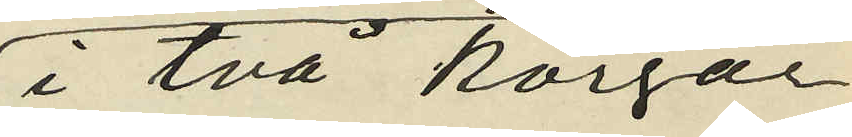i två korgar
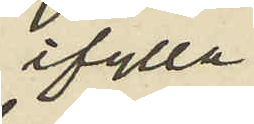ifylla
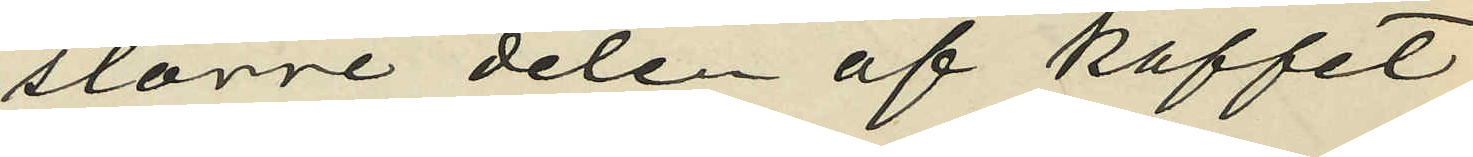större delen af kaffet
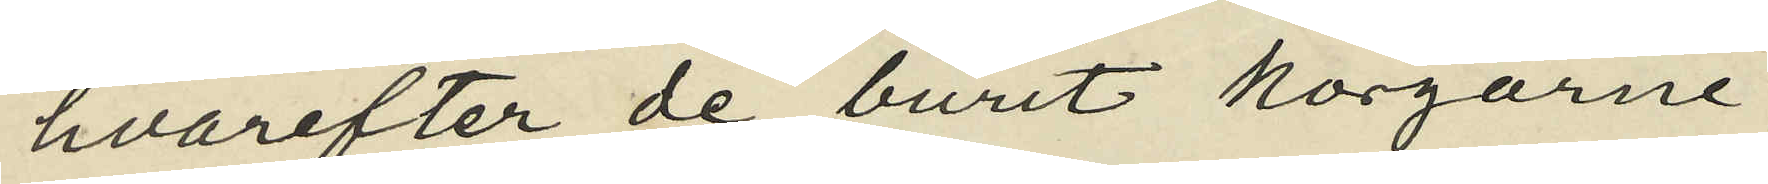hvarefter de burit korgarne
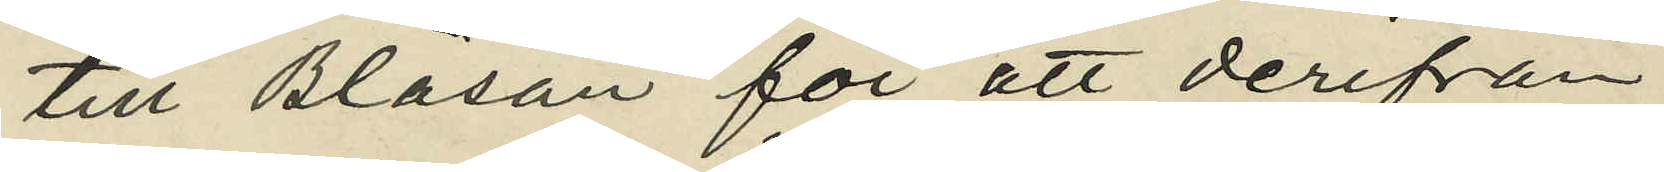till Bläsan för att derifrån
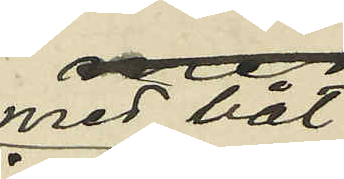med båt
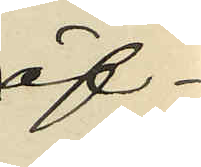öf¬
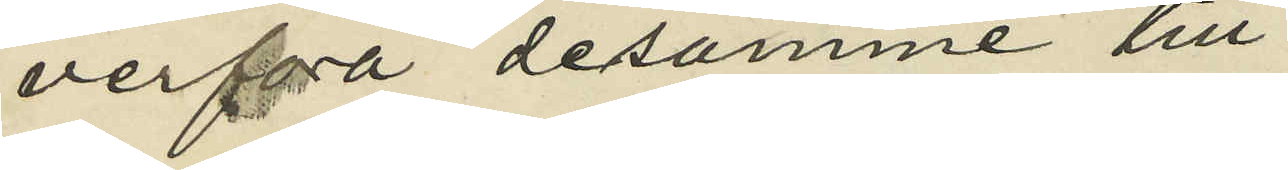verföra desamme till
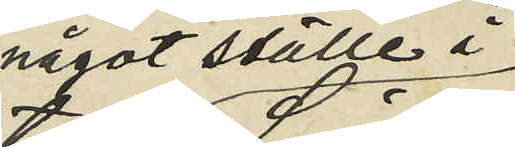något ställe i
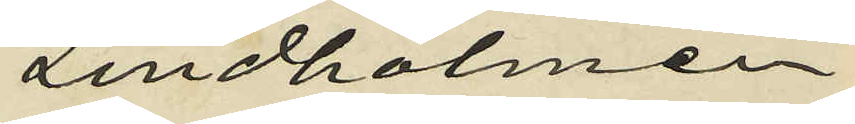Lindholmen,
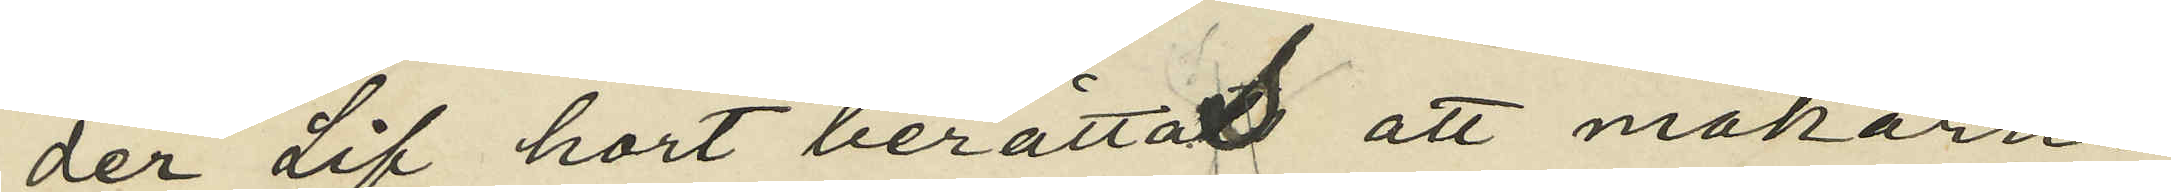der Lif hört berättat att makarne
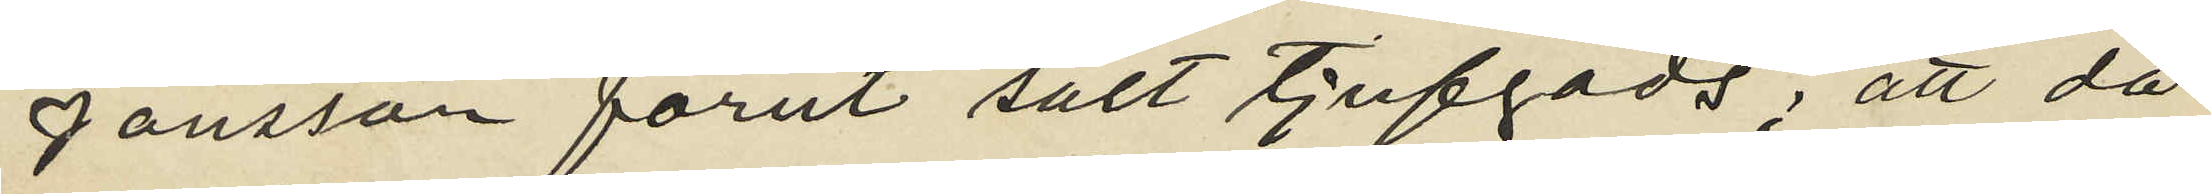Jönsson förut sålt tjufgods; att då
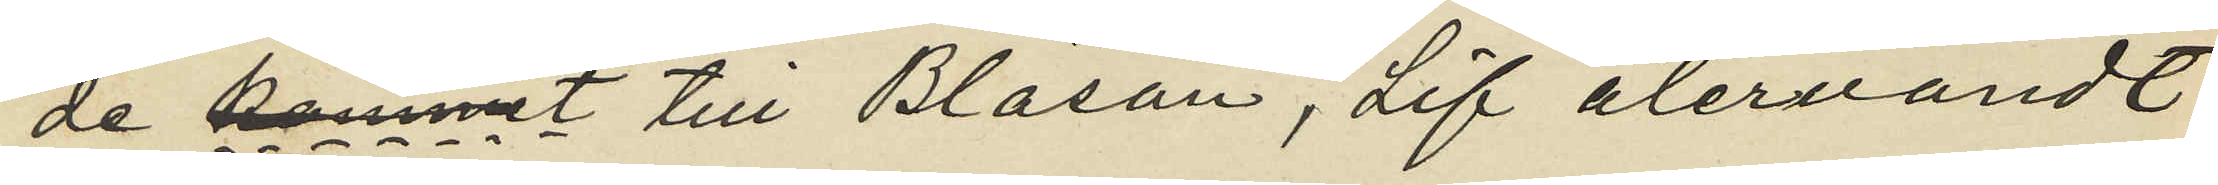de kommit till Bläsan, Lif återvändt
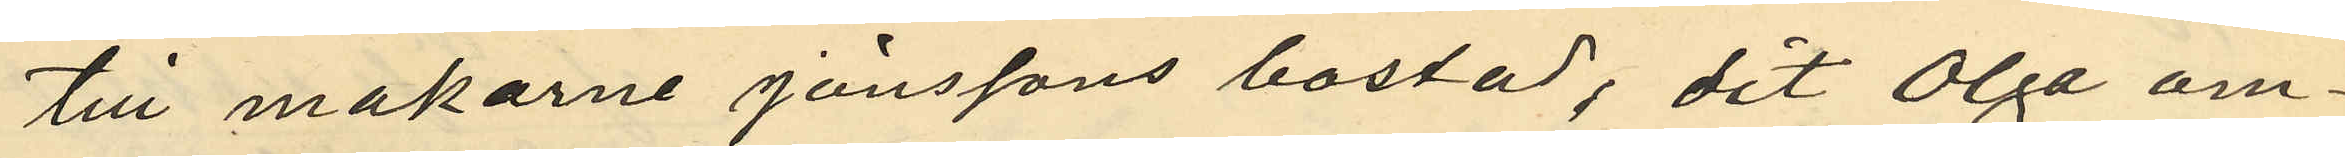till makarne Jönssons bostad, dit Olga om¬
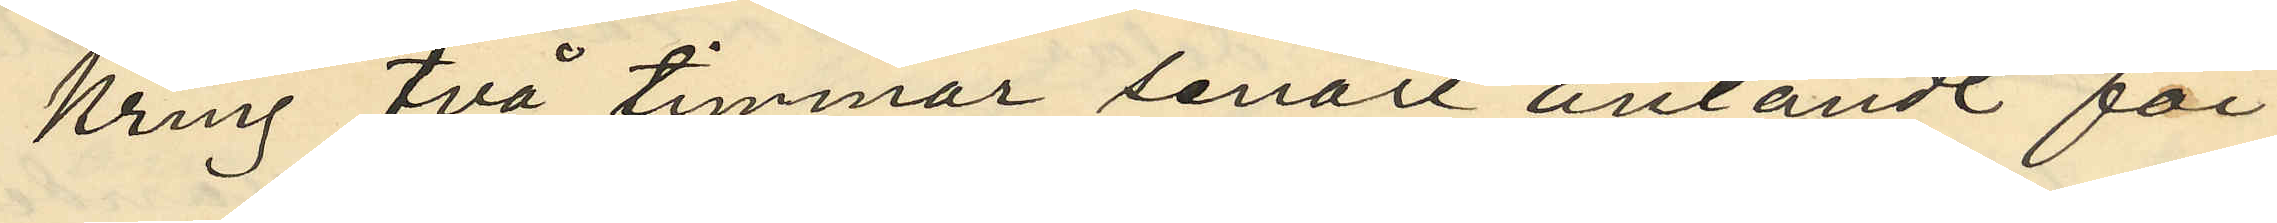kring två timmar senare anländt för
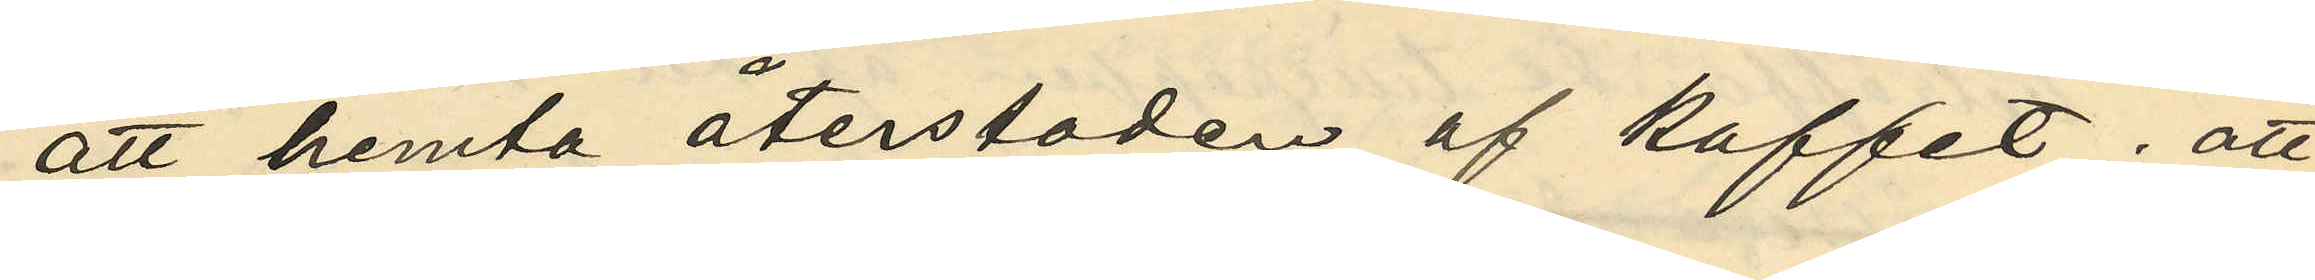att hemta återstoden af kaffet; att
